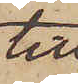till
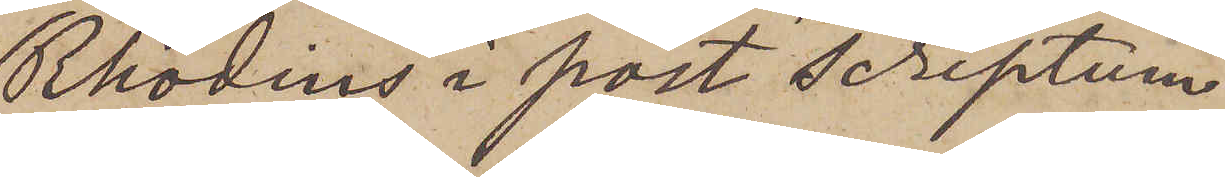Rhodins i post scriptum
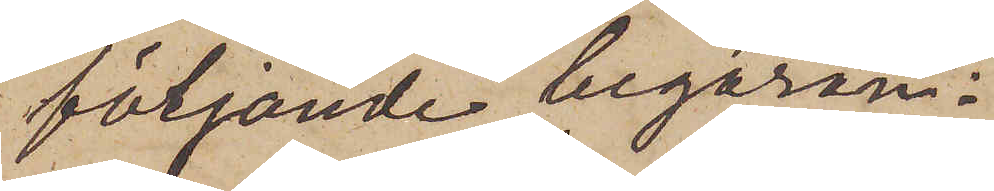följande begäran:
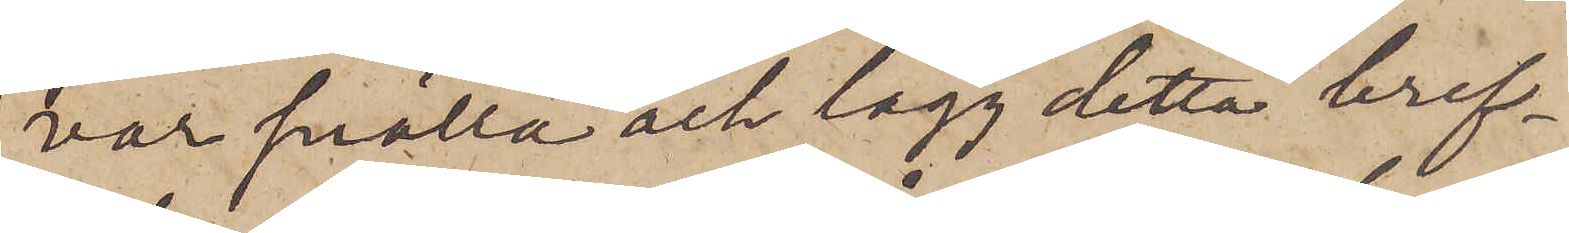var snälla och lägg detta bref¬
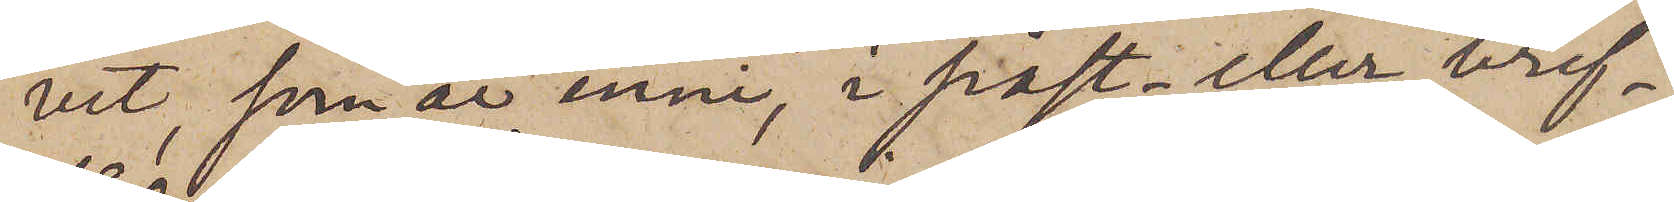vet, som är inni, i post- eller bref¬
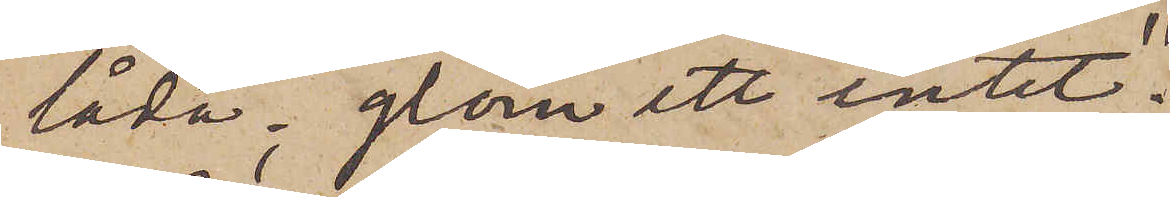låda; glöm ett intet."
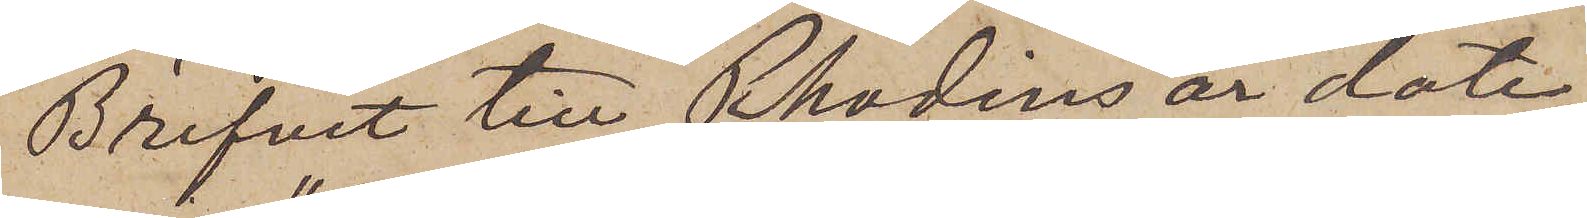Brefvet till Rhodins är date¬
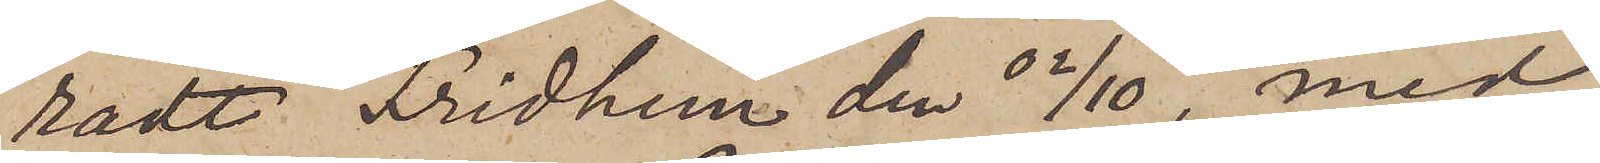radt "Fridhem den 02/10", men
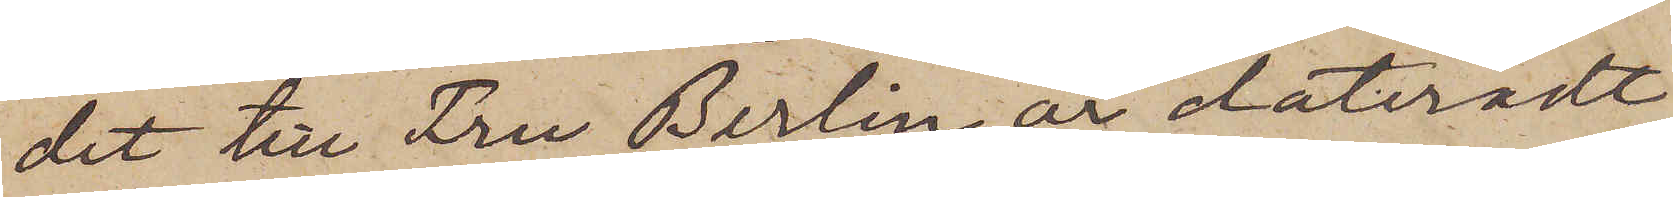dit till Fru Berlin är dateradt
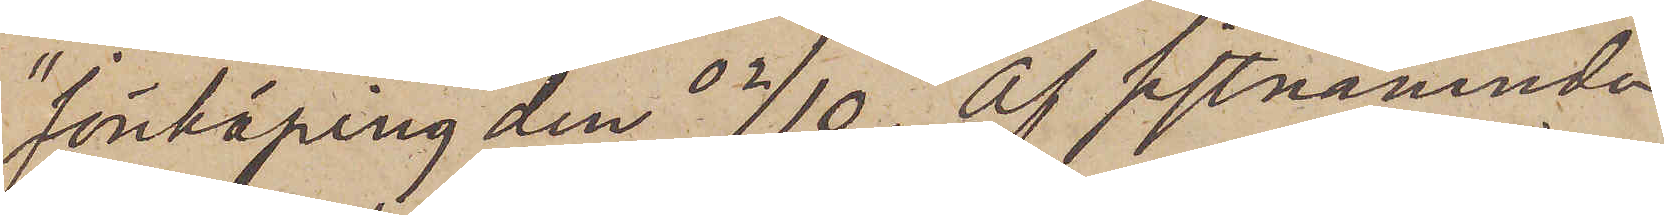"Jönköping den 02/10." Af sistnämnda
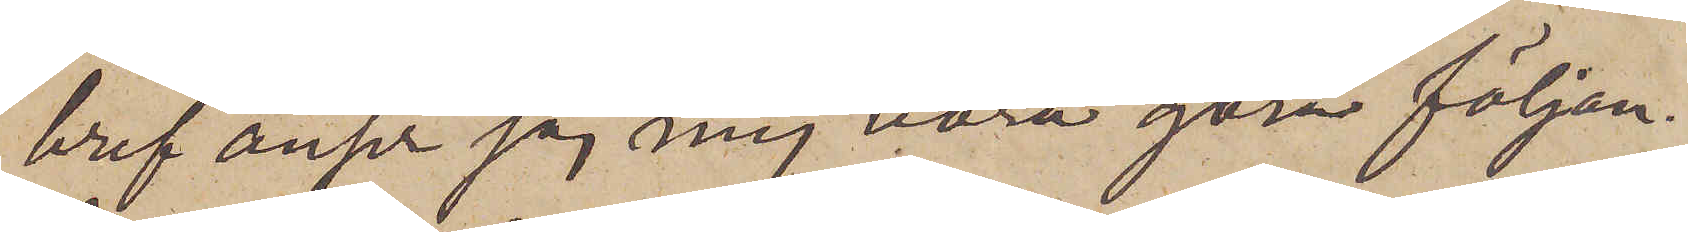bref anser jag mig böra göra följan¬
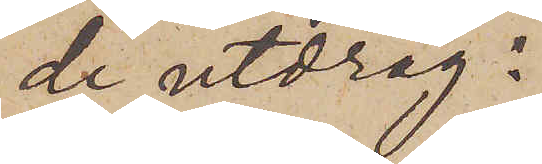de utdrag:
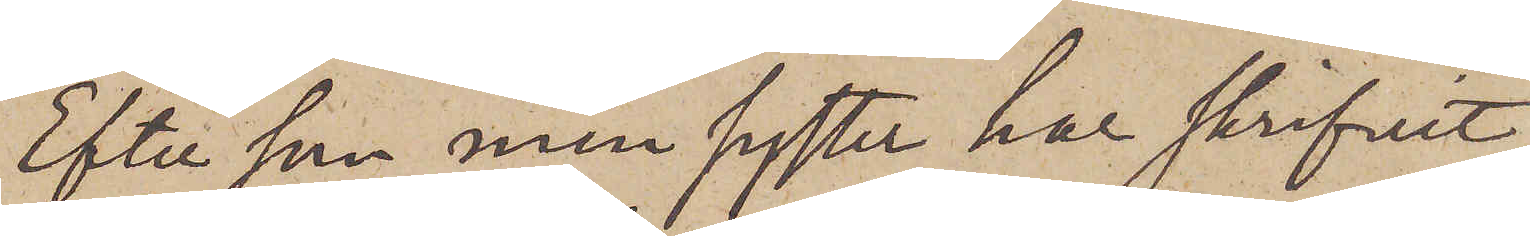"Efter som min syster har skrifvit
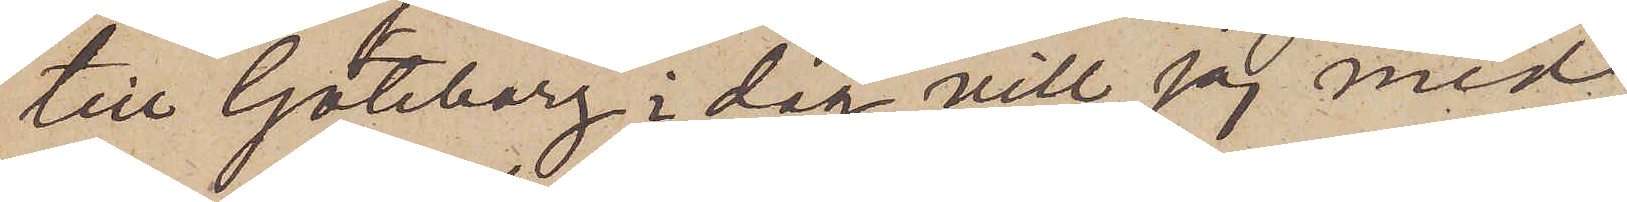till Göteborg i dag vill jag med
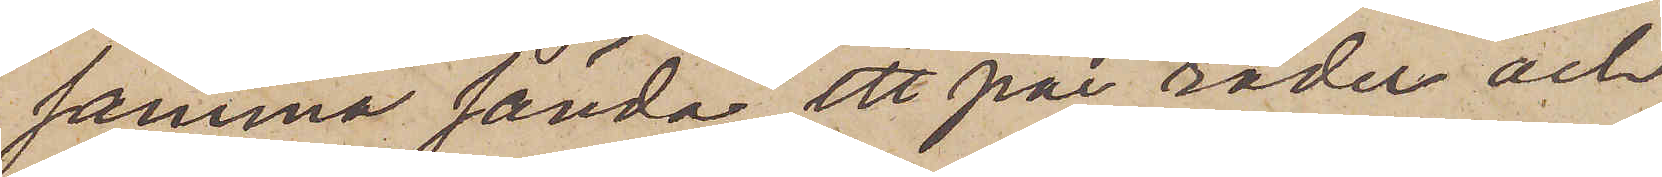samma sända ett par rader och
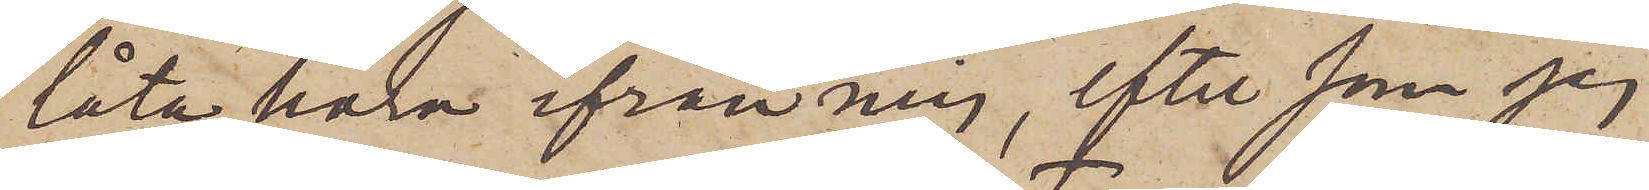låta höra ifrån mig, efter som jag
